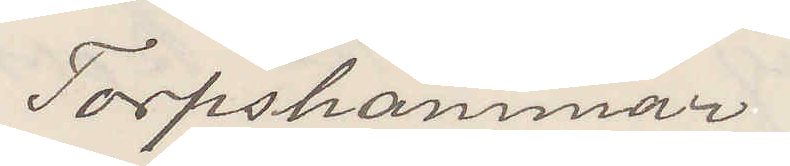Torpshammar.
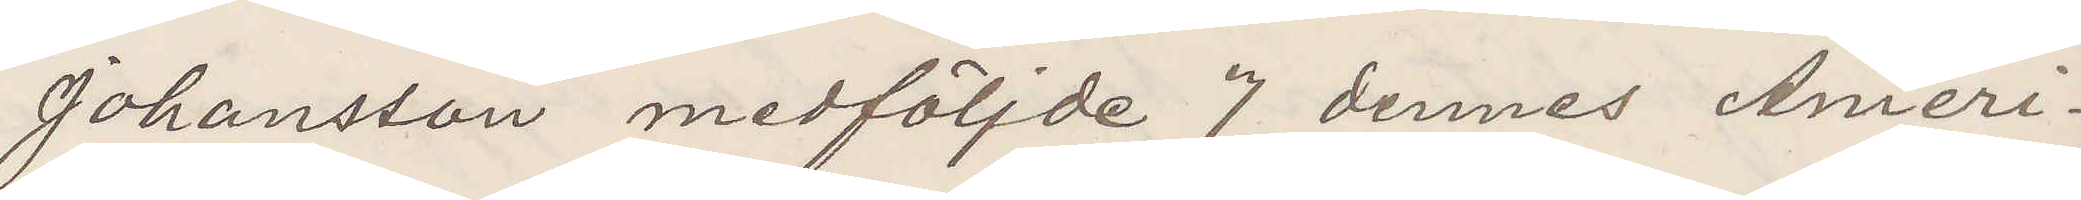Johansson medföljde 7 dennes Ameri¬
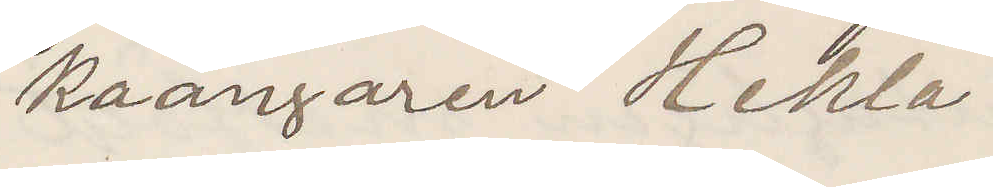kaångare Hekla.
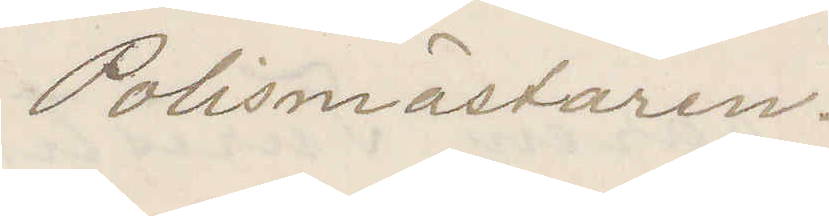Polismästaren.
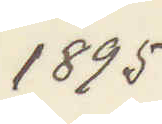1895
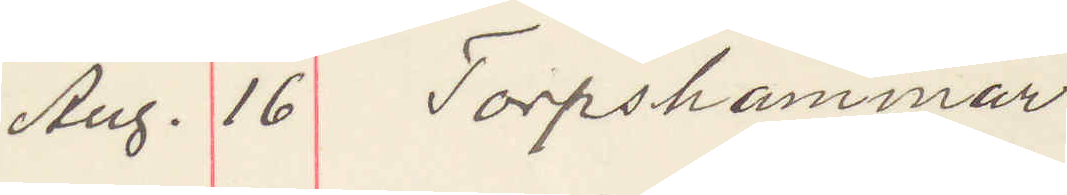Aug. 16 Torpshammar
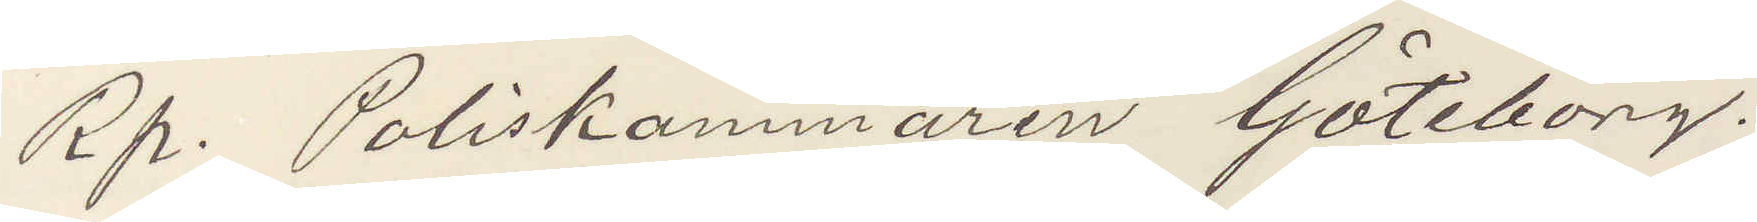Rp. Poliskammaren Göteborg.
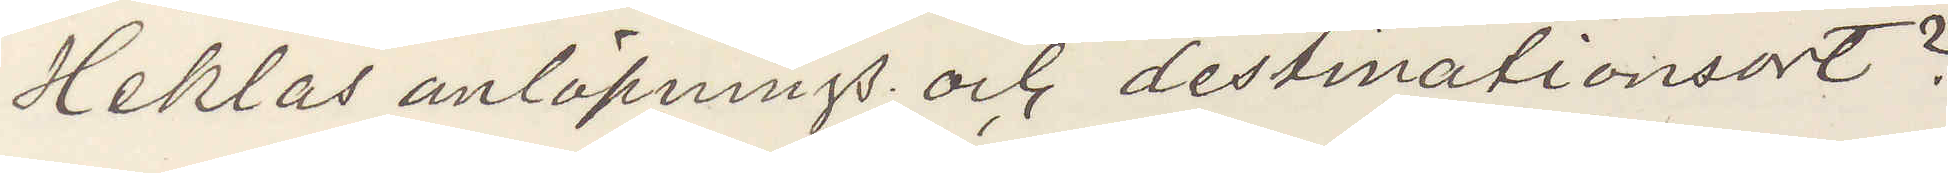Heklas anlöpning och destinationsort?
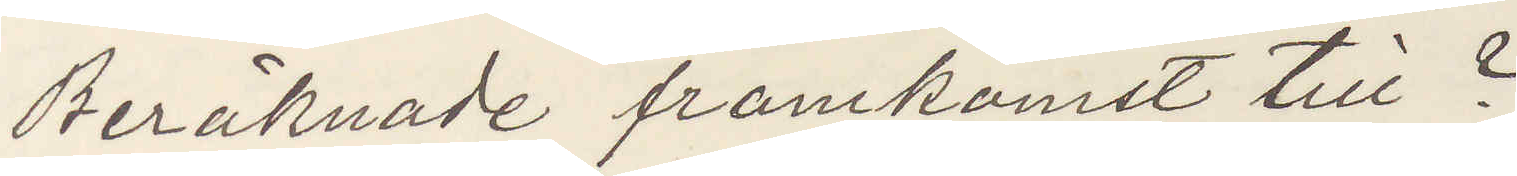Beräknade framkomst till?
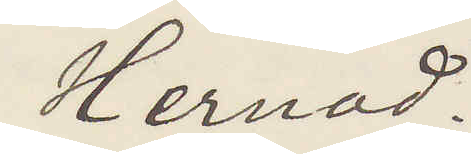Hernod.
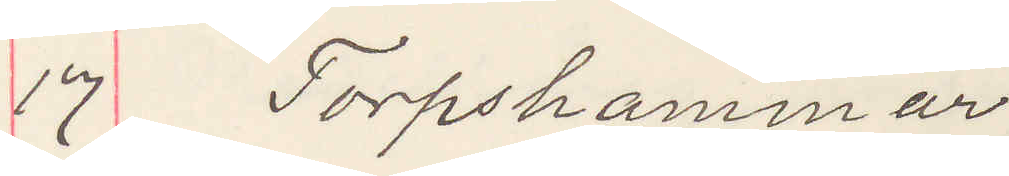17 Torpshammar
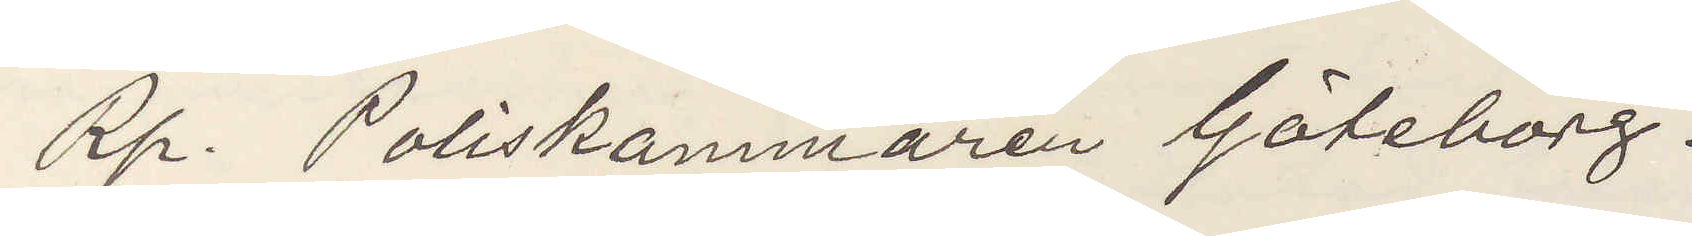Rp. Poliskammaren Göteborg.
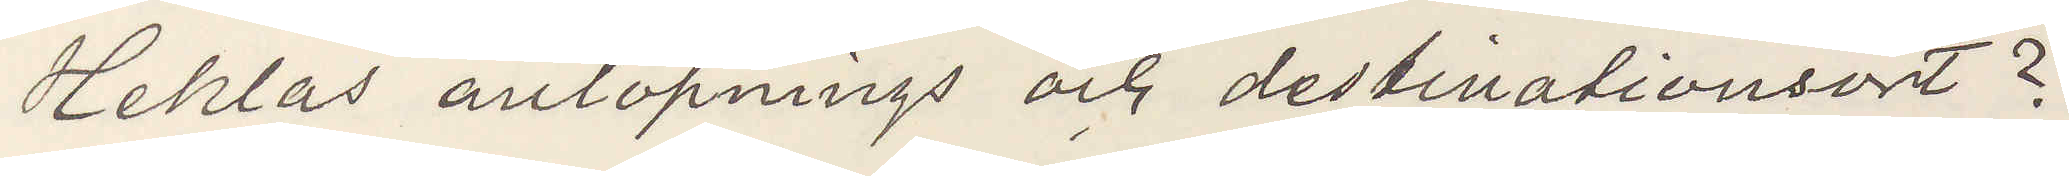Heklas anlöpnings och destinationsort?
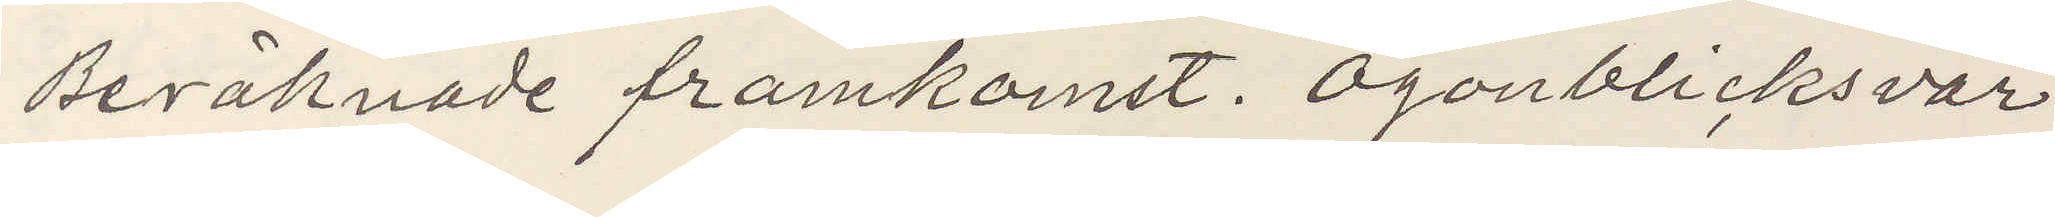Beräknade framkomst. Ögonblickssvar
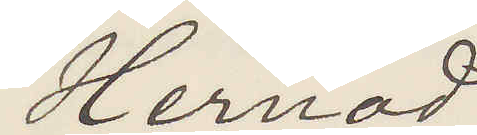Hernod
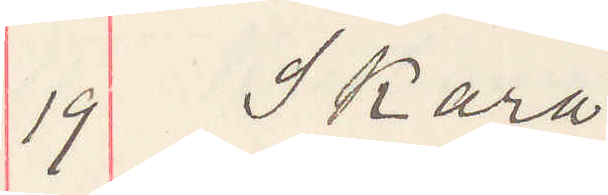19 Skara
